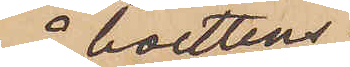å boettens
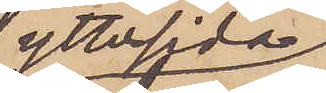yttersida
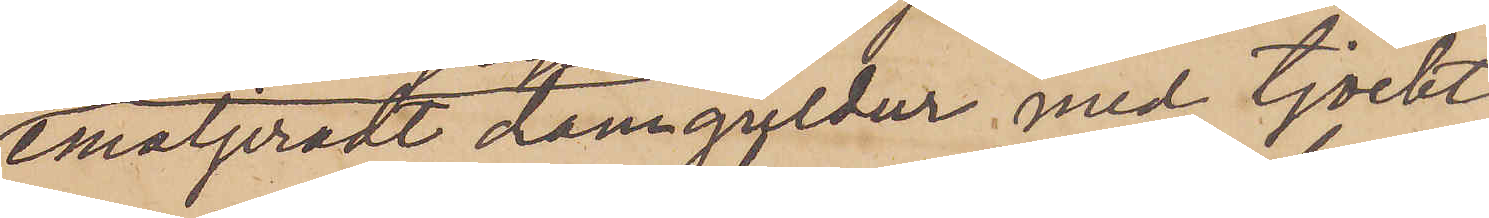emaljeradt damguldur med tjockt
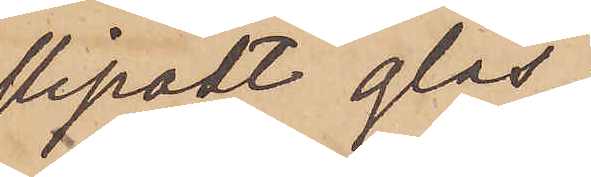slipadt glas
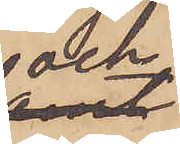och
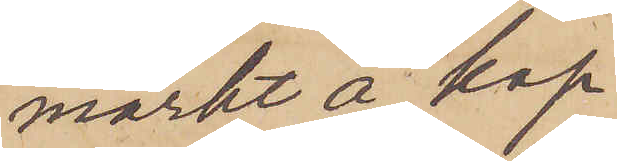märkt å kap¬
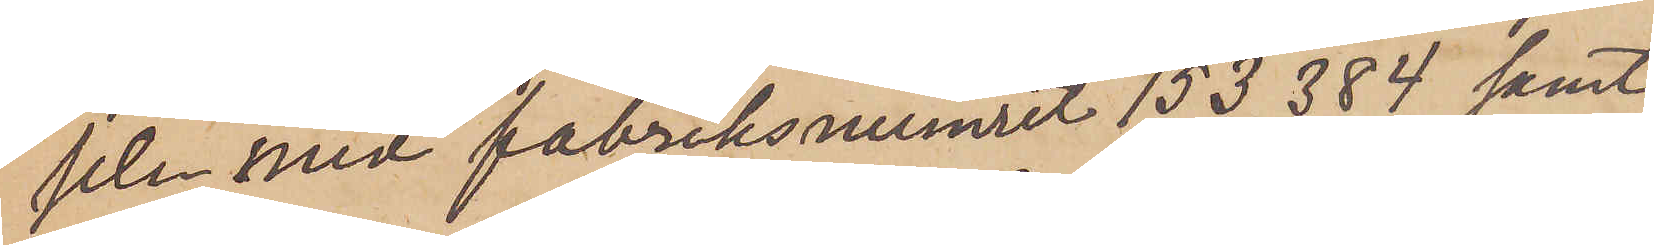seln med fabriksnumret 153.384 samt
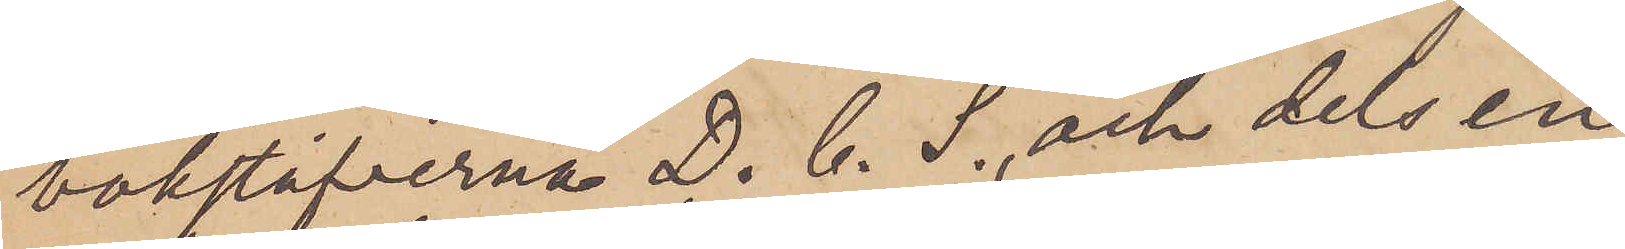bokstäfverna D. C. S. och dels en
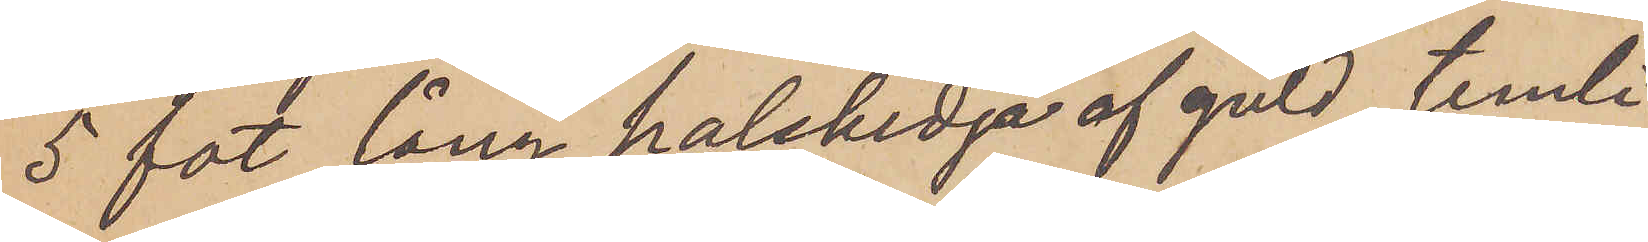5 fot lång halskedja af guld, temli¬
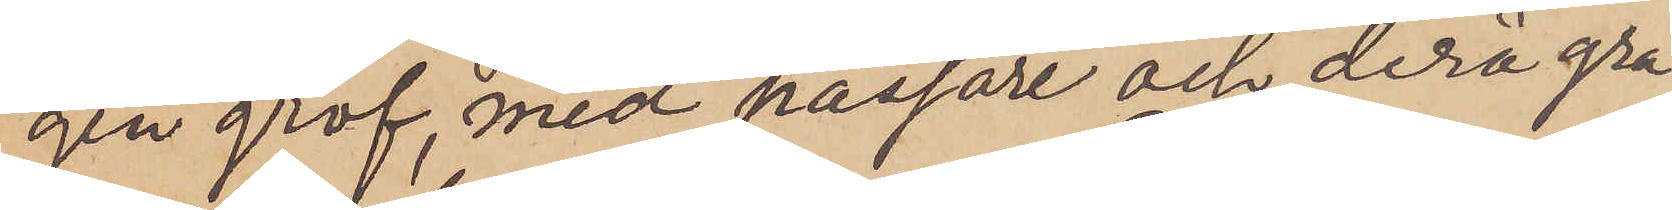gen grof, med passare och derå gra¬
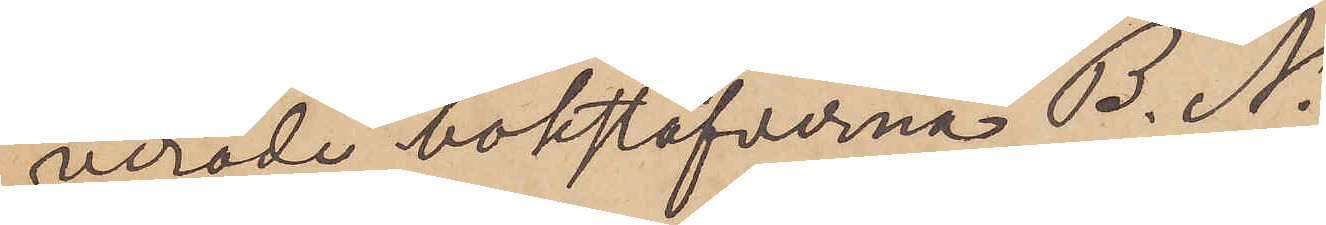verade bokstäfverna B. N.
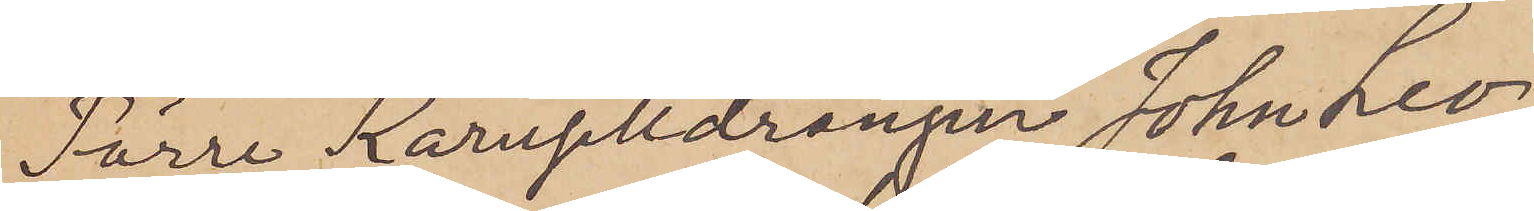Förre Karuselldrängen John Leo¬
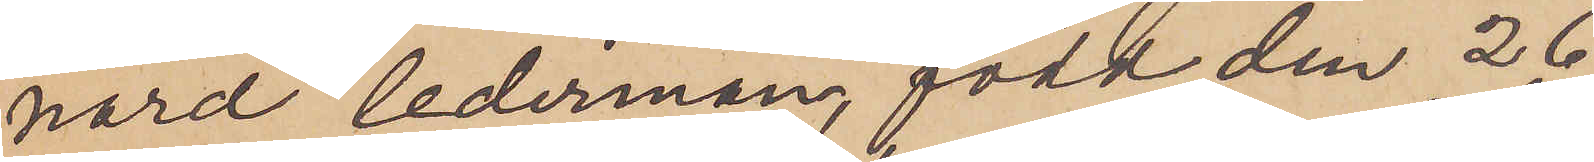nard Cederman, född den 26
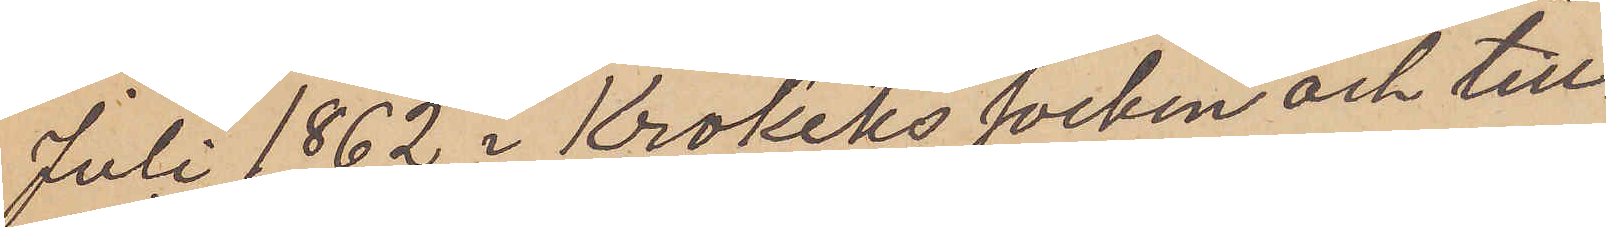Juli 1862 i Krokeks socken och till¬
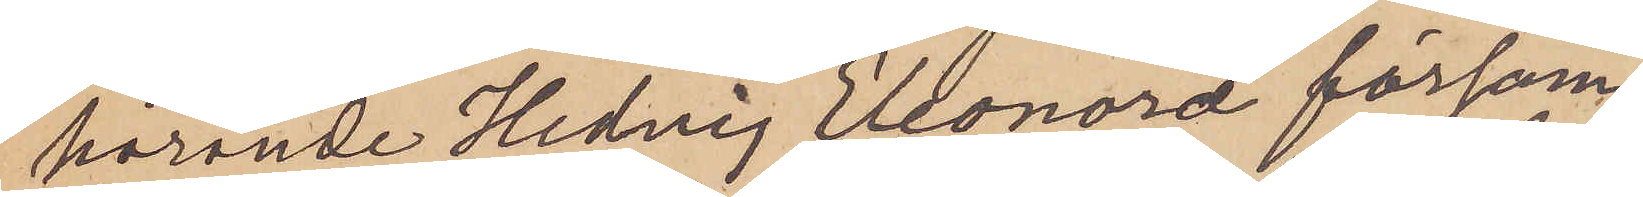hörande Hedvig Eleonord försam¬
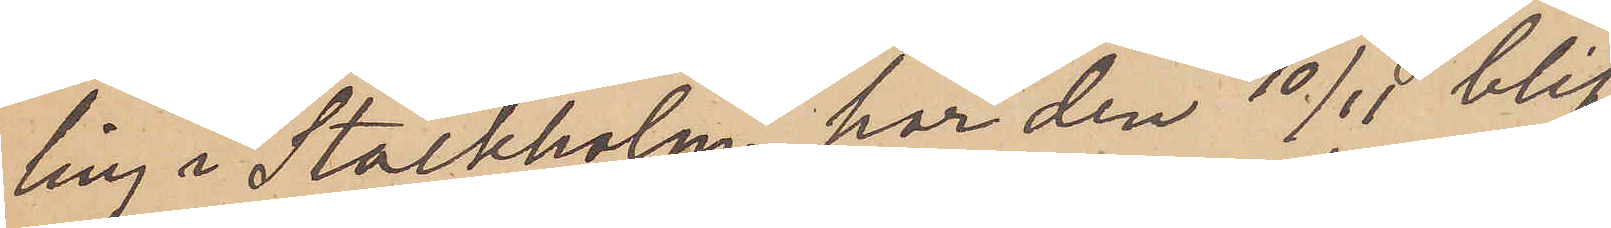ling i Stockholm har den 10/11 blif¬
